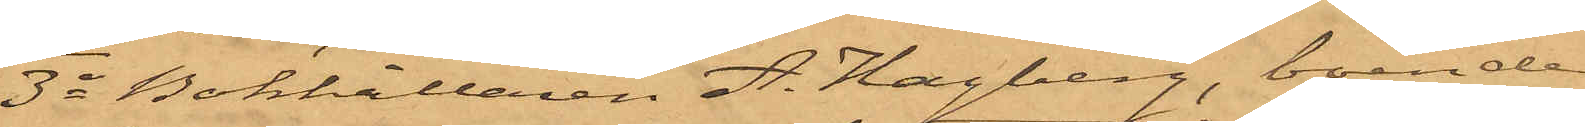3o Bokhållaren A. Hagberg, boende
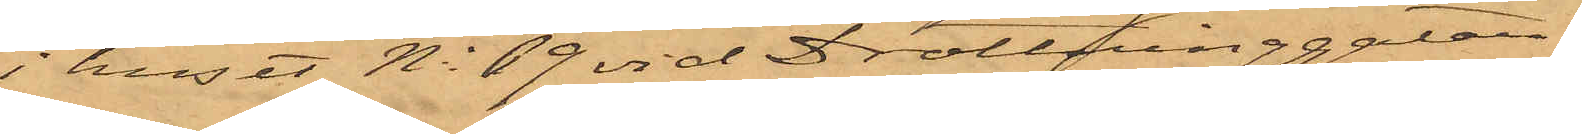i huset No 69 vid Drottninggatan,
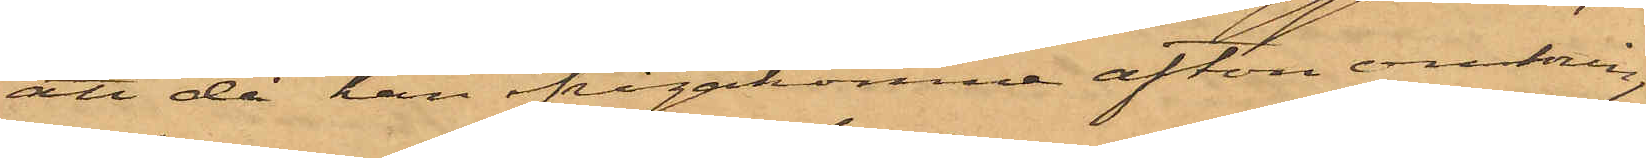att då han ifrågakomne afton omkring
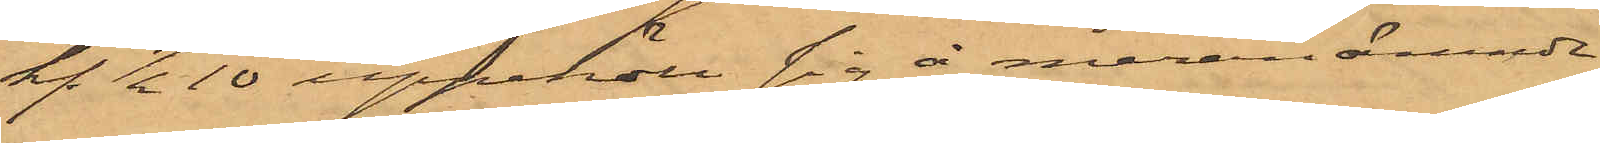kl. ½10 uppehöll sig å meranämnde
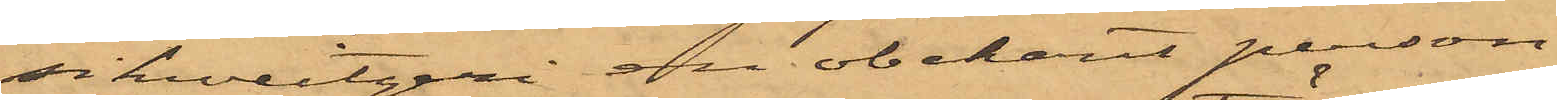schweizeri en obekant person
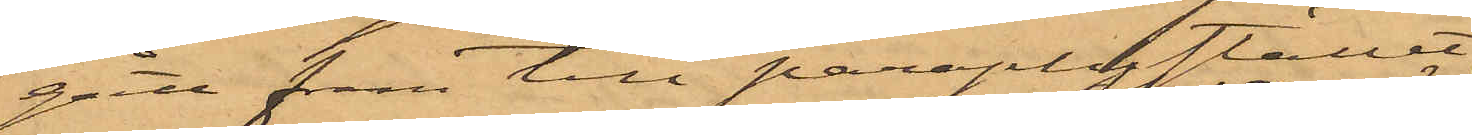gått fram till paraplystället och
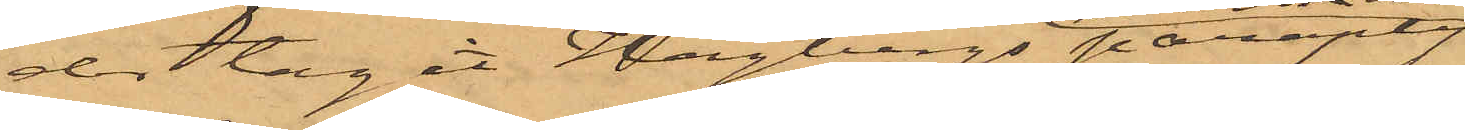der tagit Hagbergs paraply
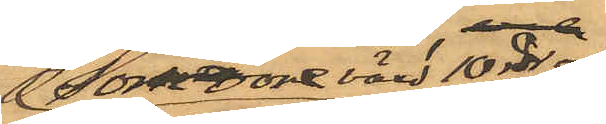som vore värt 10 rdr och
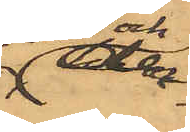der¬
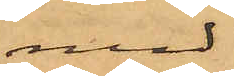med
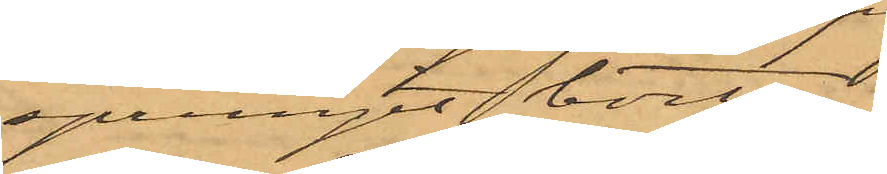sprungit bort;
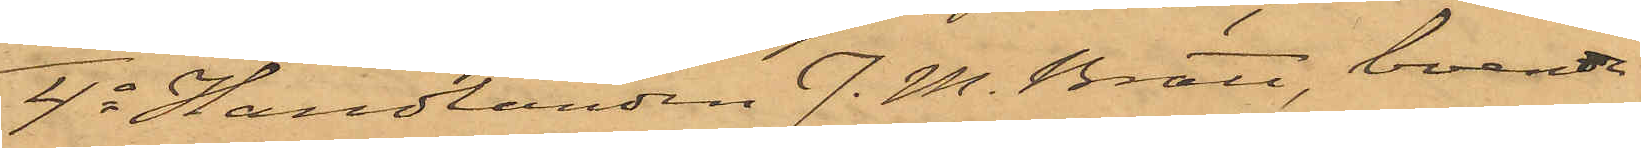4o Handlanden J. M. Bratt, boende
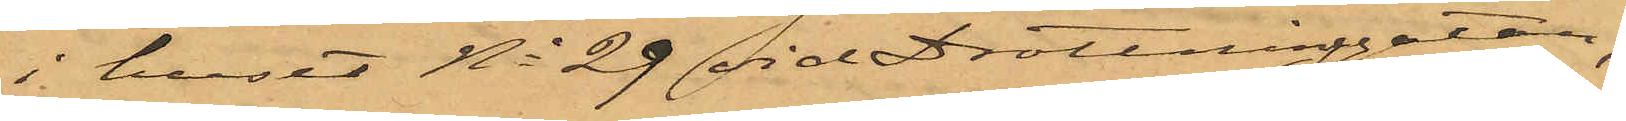i huset No 29 vid Drottninggatan,
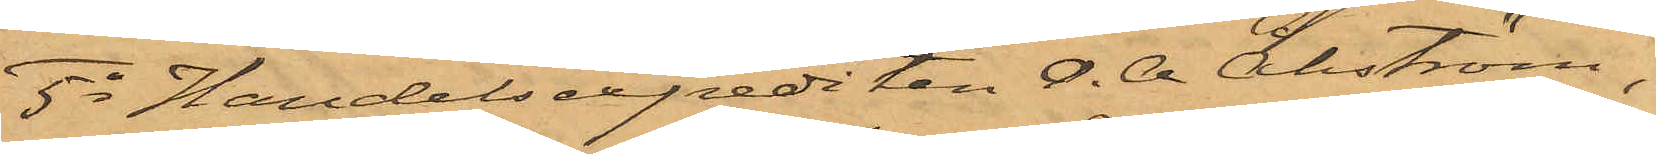5o Handelsexpediten O. A. Åhtröm,
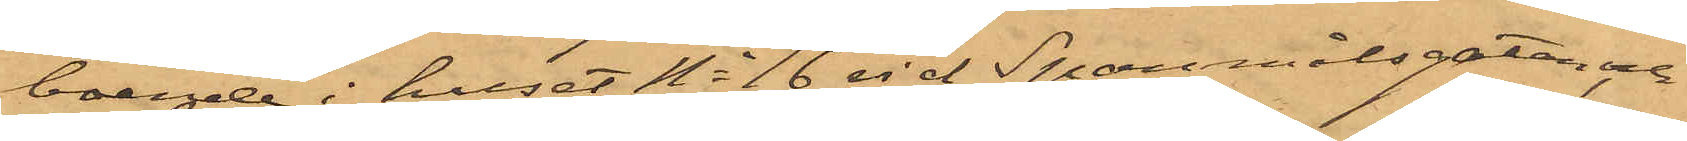boende i huset No 16 vid Spanmålsgatan, och
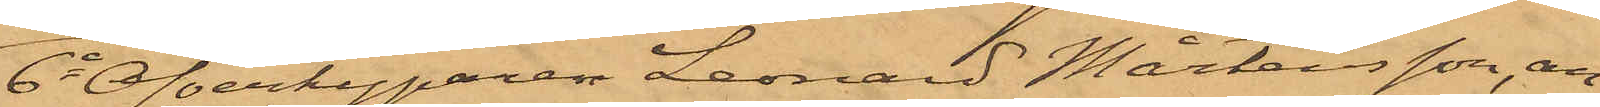6o Öfverkyparen Leonard Mårtensson, an¬
